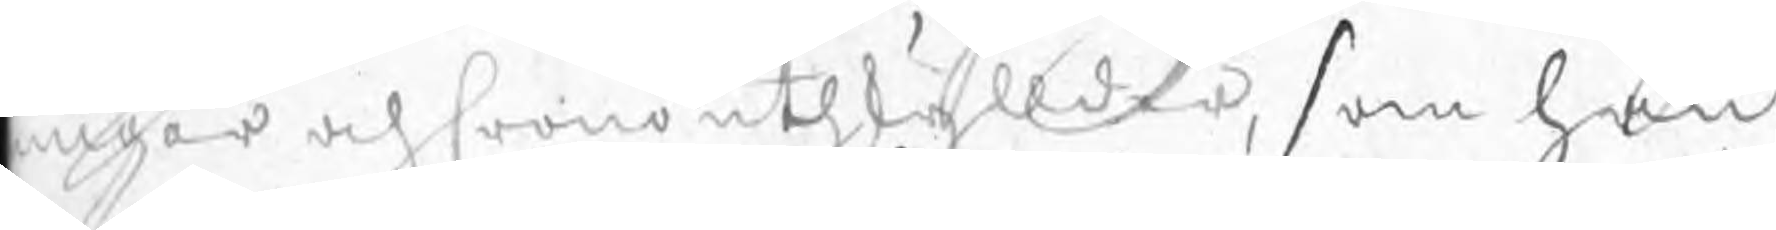nigar och Cronouthskyllder, som han
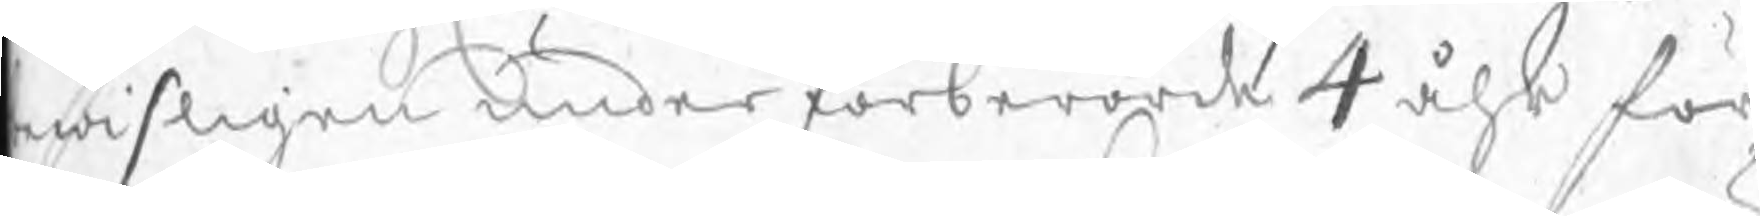bewisligen under förberörde 4 åhr för
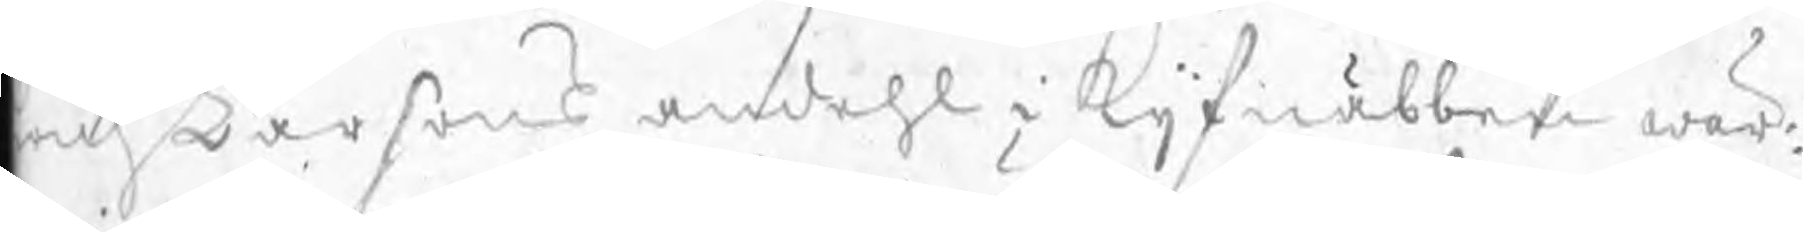rich Larsons andehl i Kijfnäbben wär:
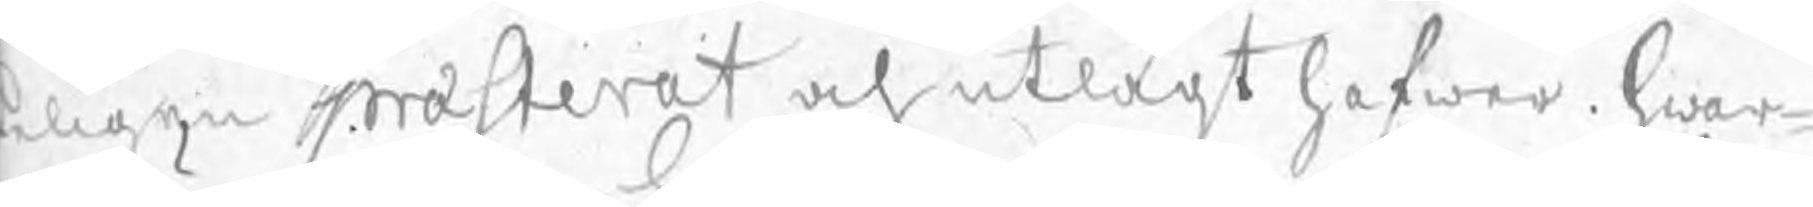eligen præsterat och utlagt hafwer. hwar¬
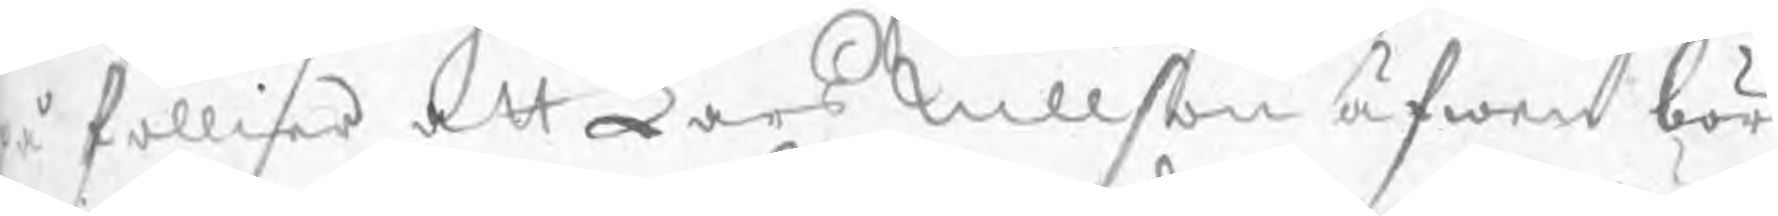på föllier att Lars Nillson äfwen bör
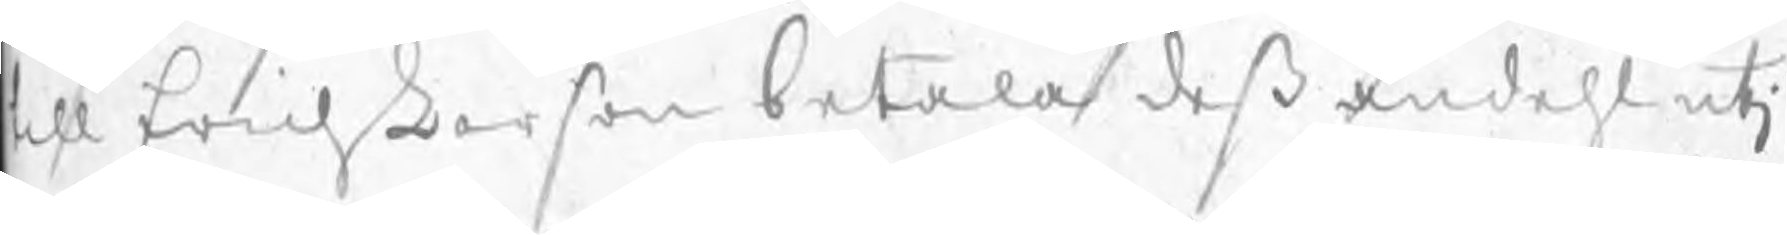till Erich Larson betala deß andehl utj
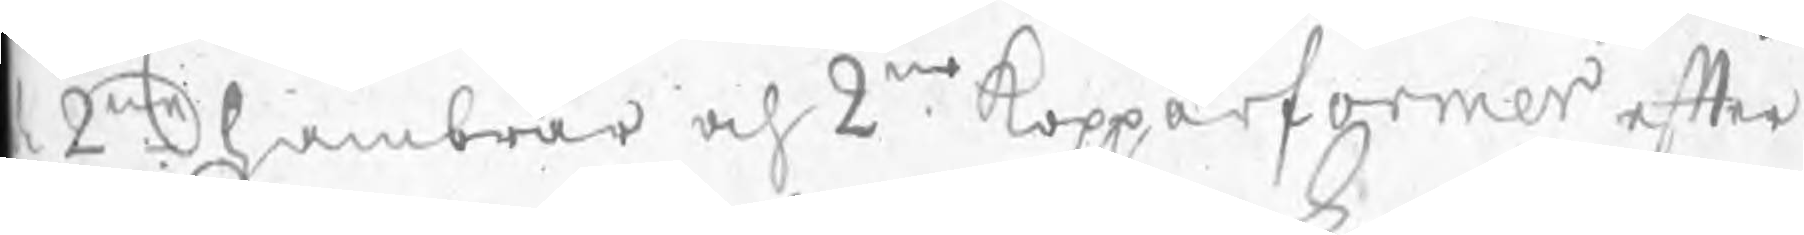de 2ne hambrar och 2ne Kopparformor efter
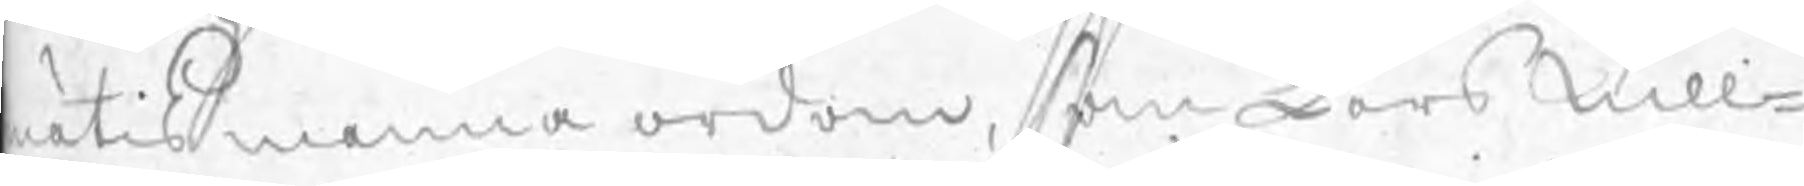matis menna ordom, som Lars Nill¬
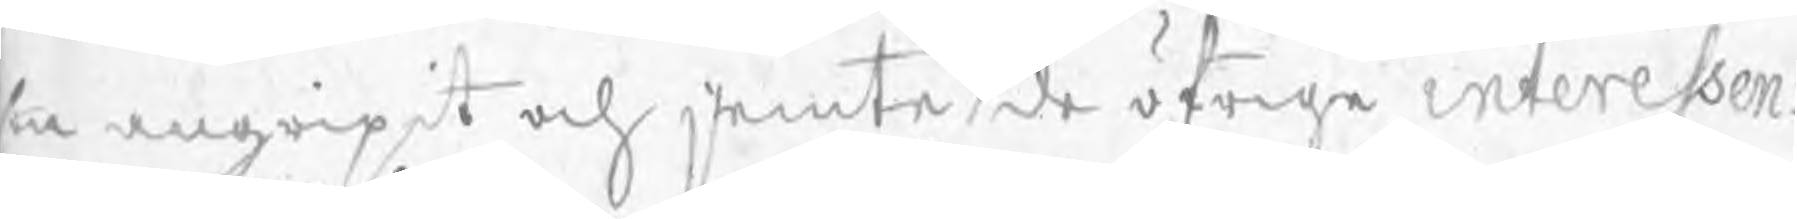sin angripit och jemte de öfrige interessen:
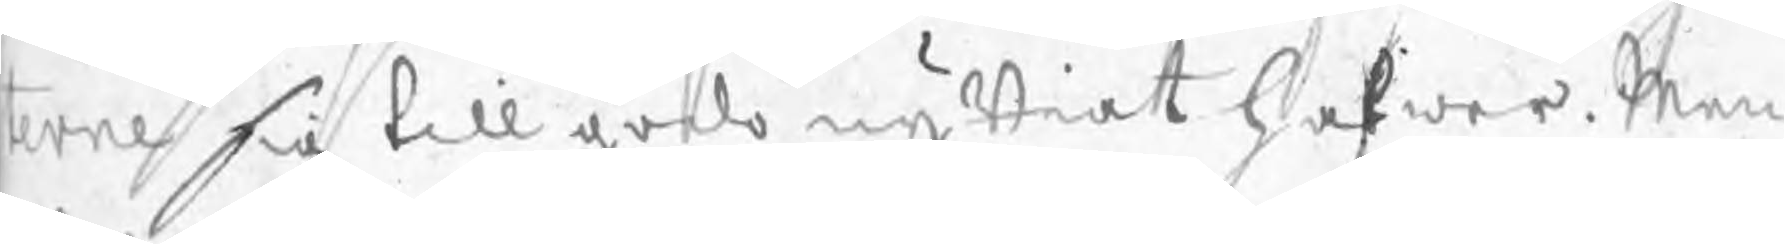terne sig till godo nyttiat hafwer. Men
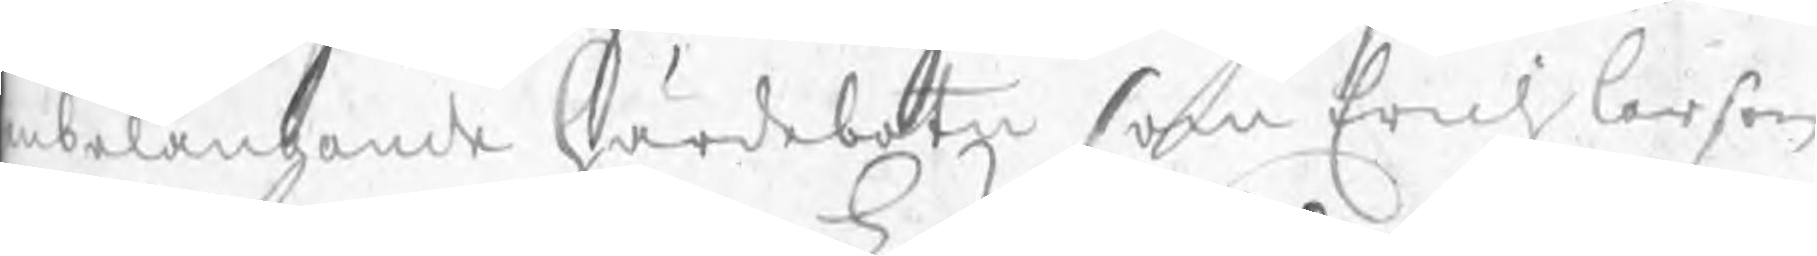anbelangande härdebotn som Erich Larson
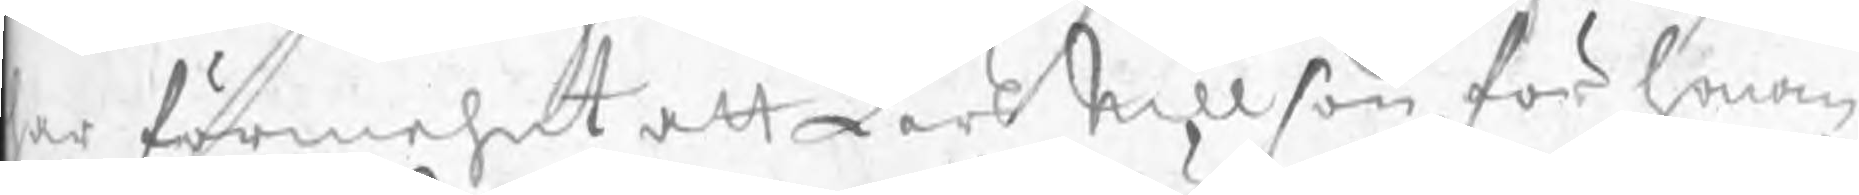har förmehnt att Lars Nillson för honom
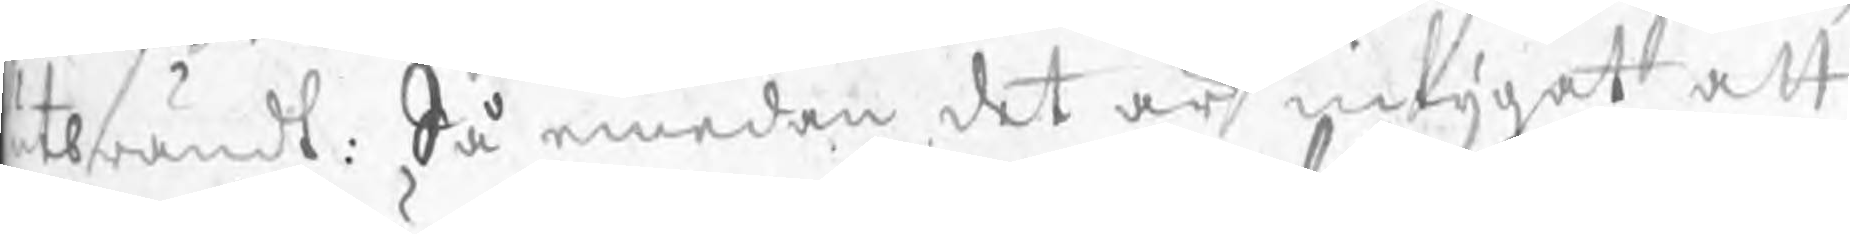utbrändt: Så emedan det är intygat att
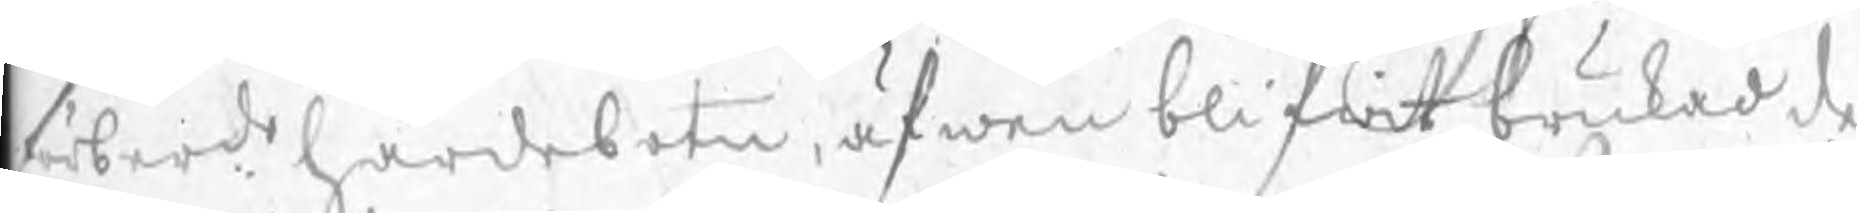förberde härdebotn, äfwen blifwit brukad de
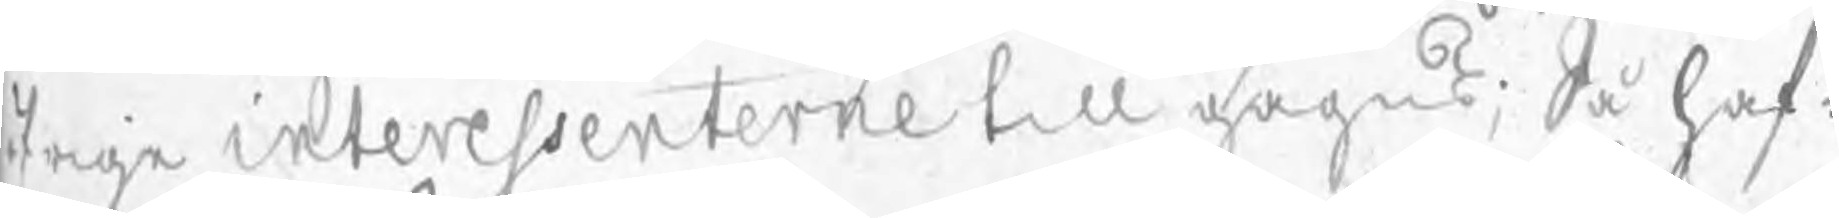öfrige interessenterne till gagns; Så haf:
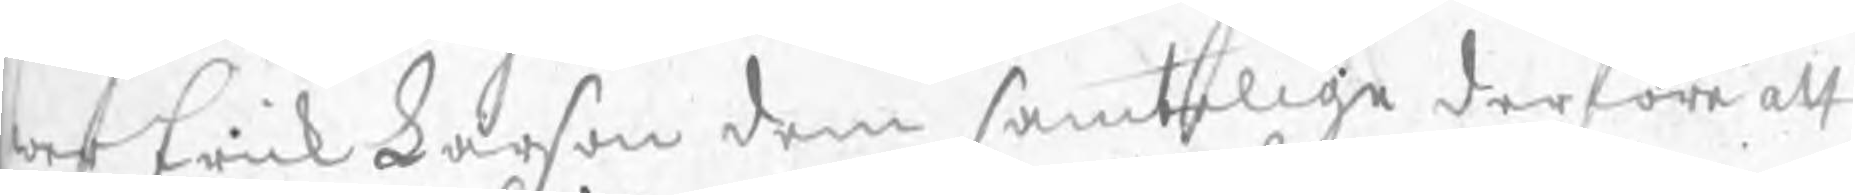wer Erich Larson dem samtelige derföre att
